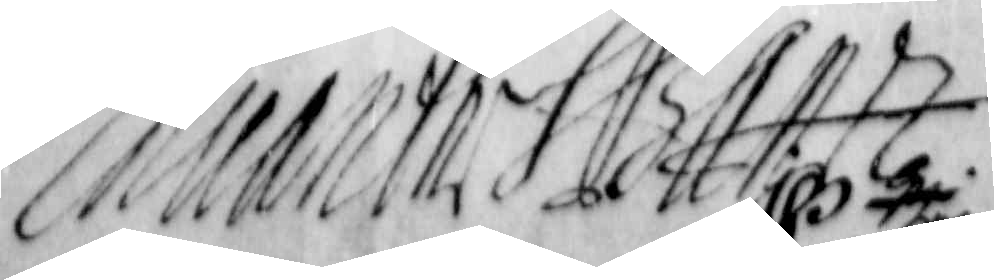Eduarth S Baner
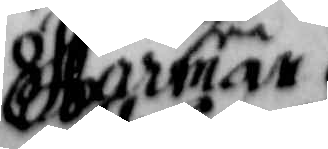Forman
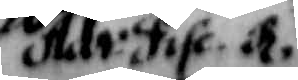Adv: Fisc. a.
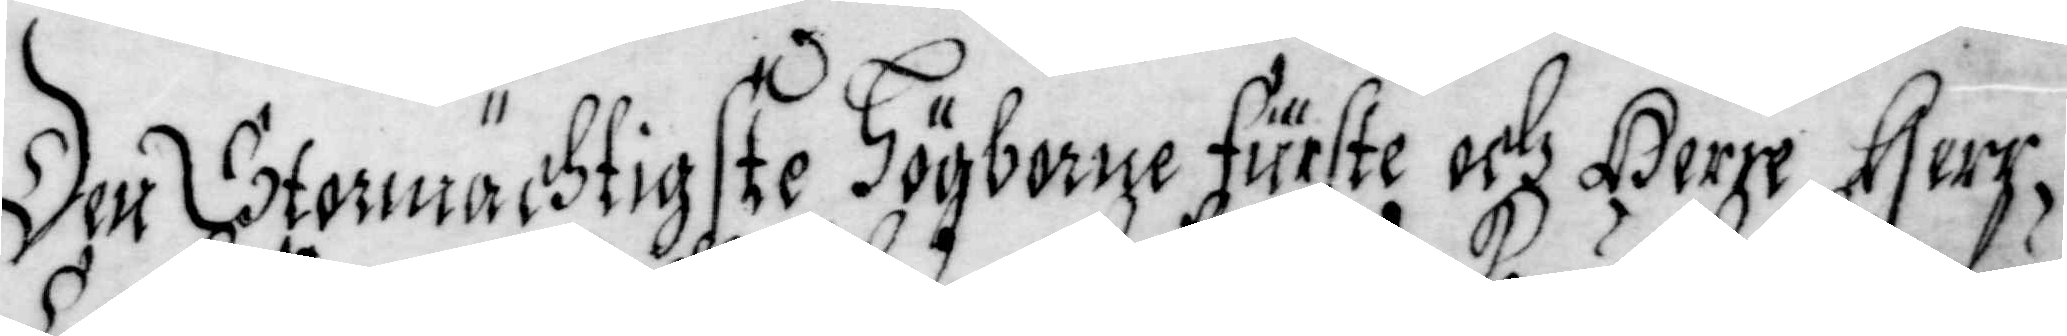Den Stormächtigste Högborne fürste och Herre Herr
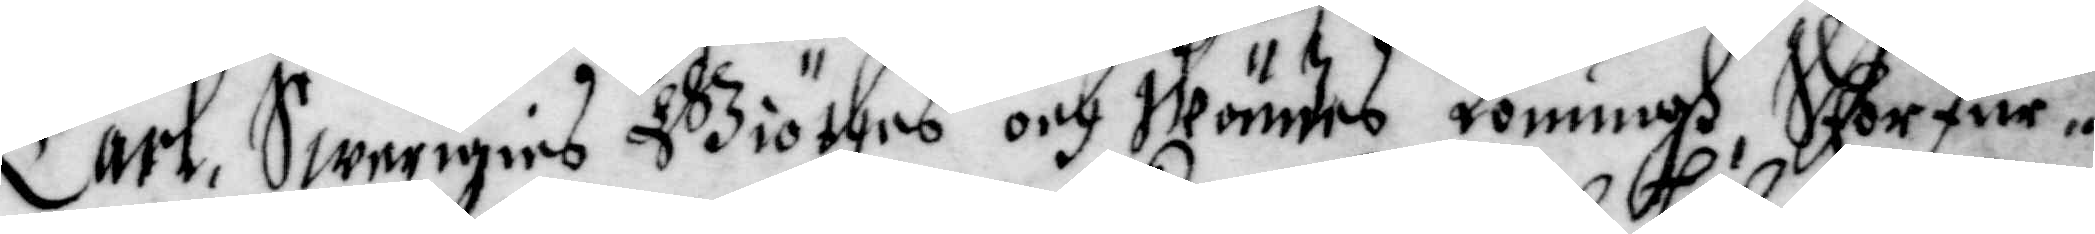Carl, Swerigies Giöthes och Wändes Konungh, Storfur¬
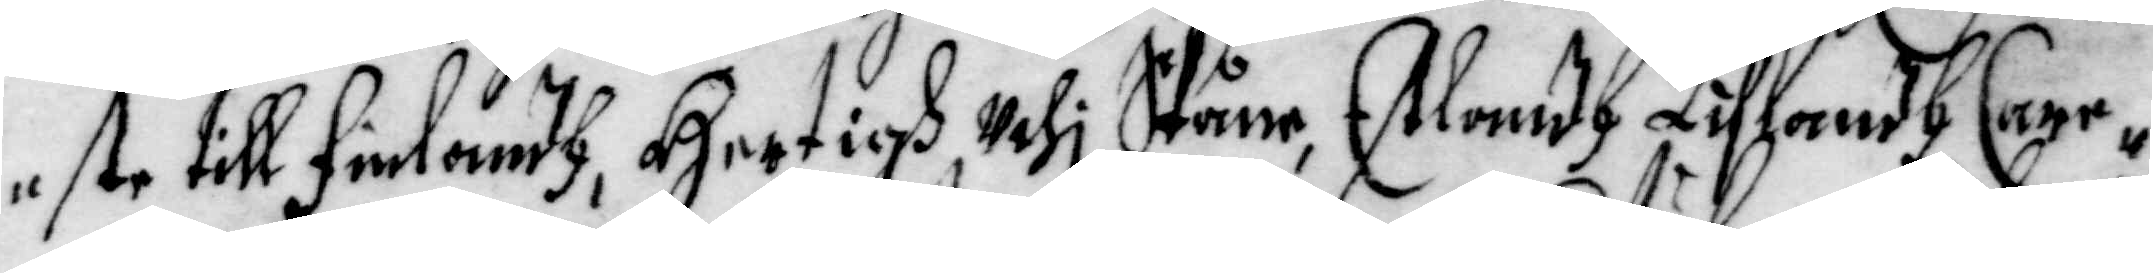este till Finlandh, Hertigh Uthi Skåne, Estlandh Liflandh Care¬
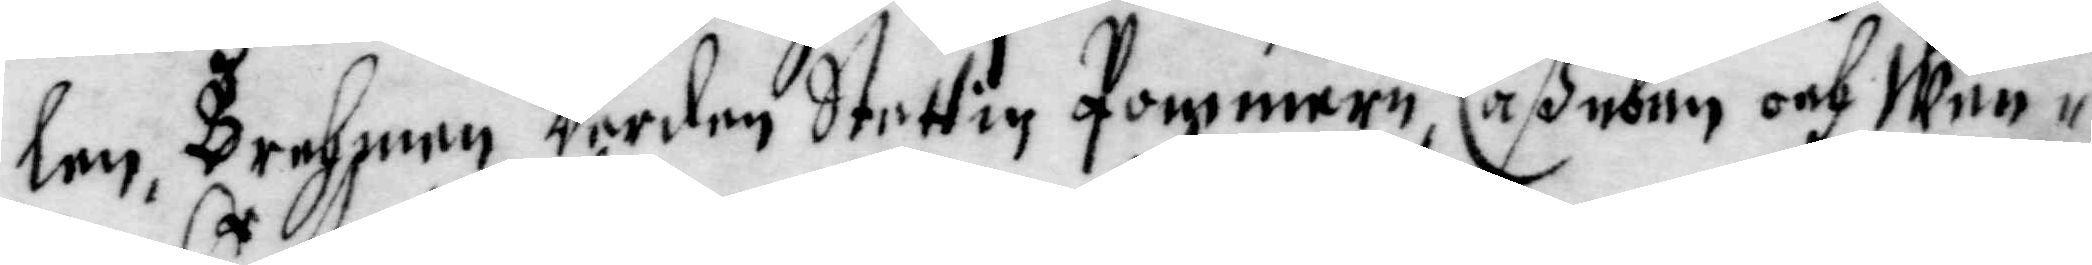len, Brehmen Werden Stettin Pommern, Cassuben och Wen¬
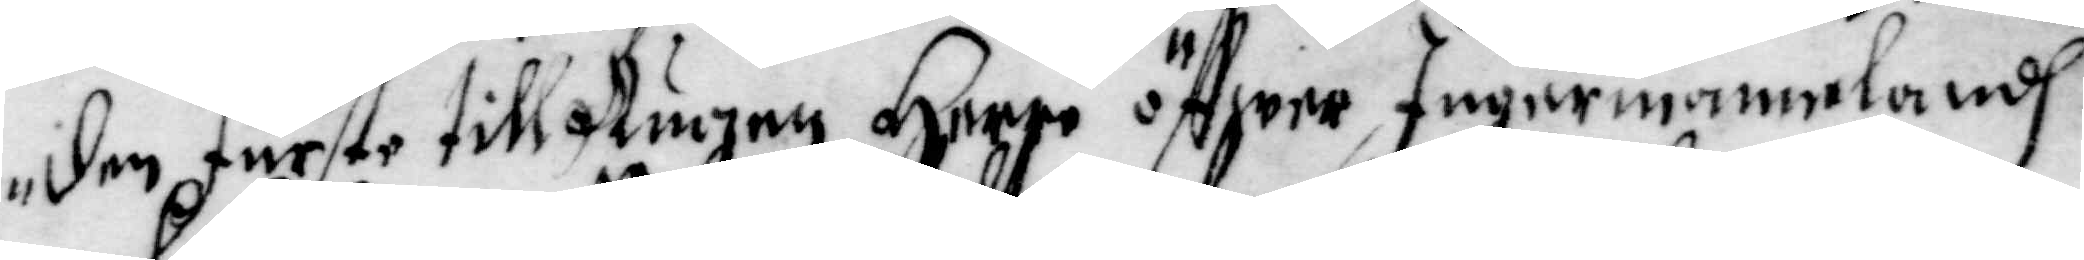den Furste till Rugen Herre öffwer Ingermannelandh
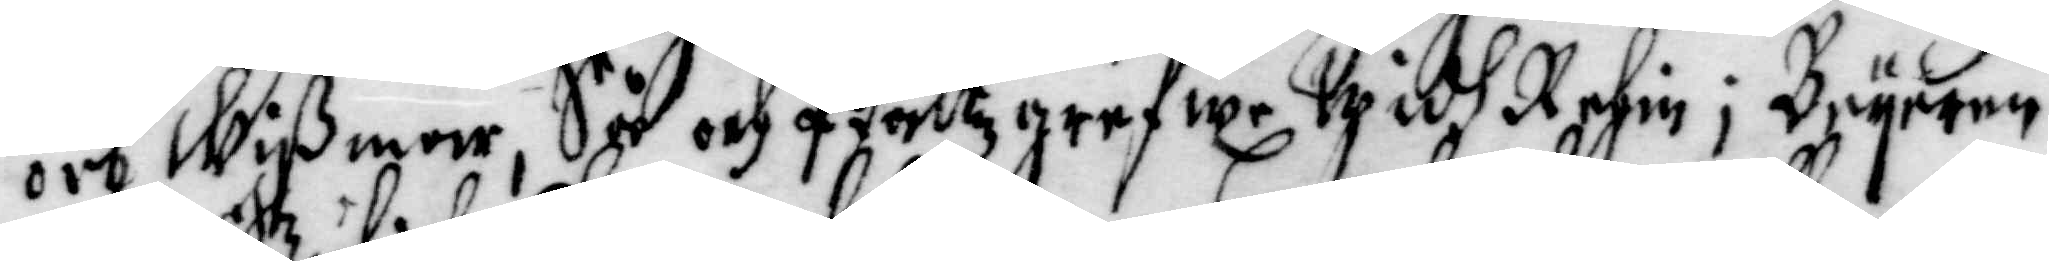och Wissmar, Så och Pfaltzgrefwe Widh Rehin j Beyeren
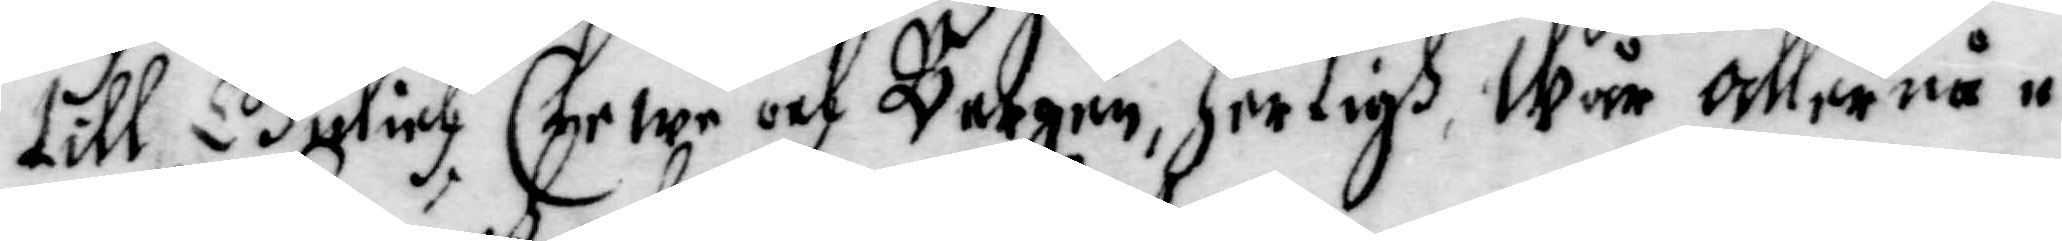till Gulich, Clewe och Bergen, Hertigh, Wår allernå¬
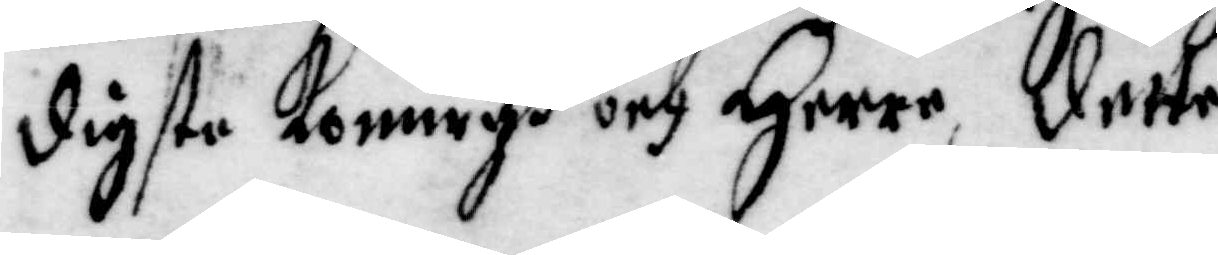digste Konungh och Herre, dette
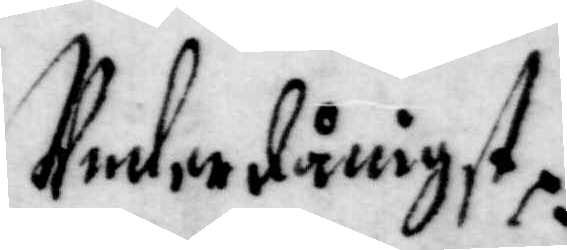Underdånigst.
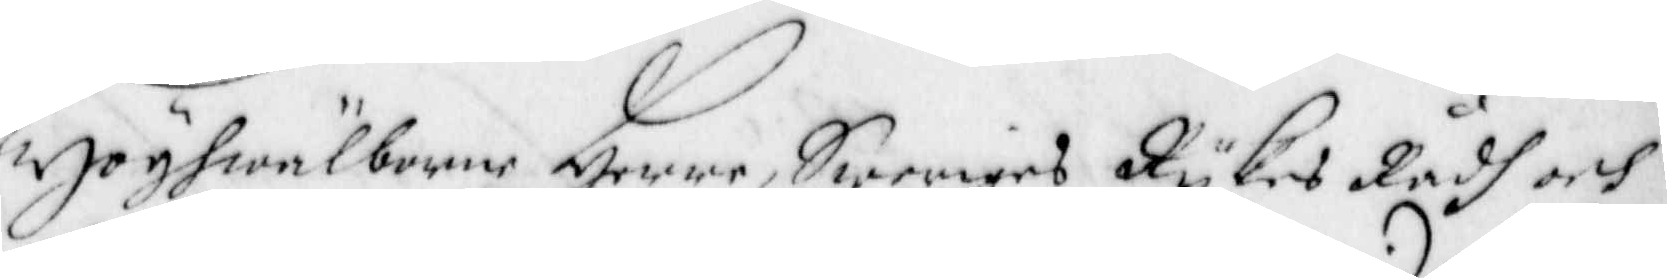Höghwälborne Herr Sweriges Rijkes Rådh och
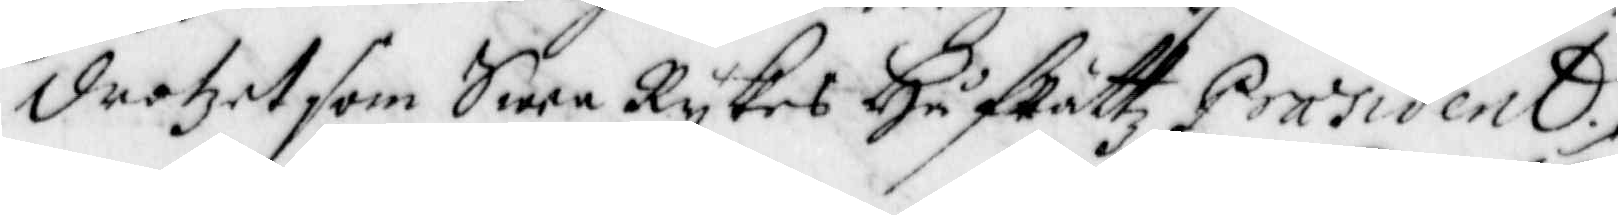Drotzet som Swea Rijkes Håf Rättz Praesident,
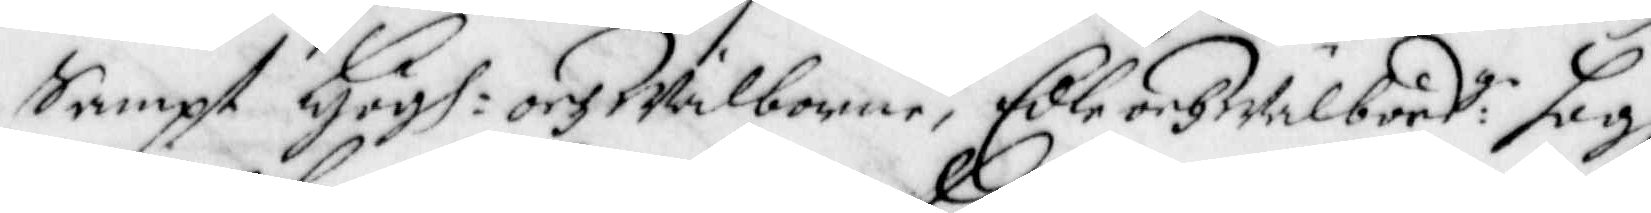sampt Högh: och Wälborne, Edle och Wälbörd:ge Högh¬
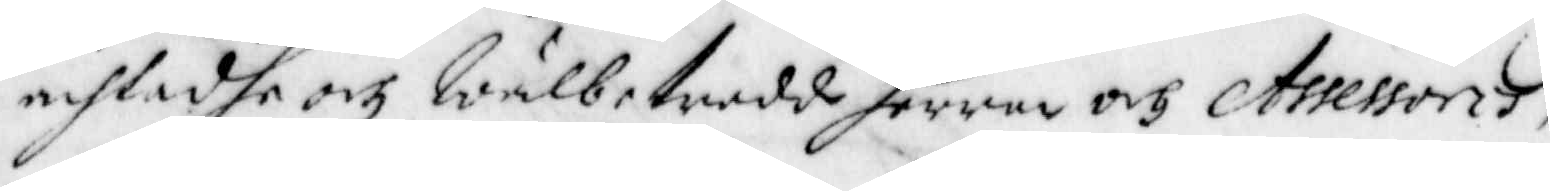achtadhe och Wälbetrodde Herrar och Assessorer,
